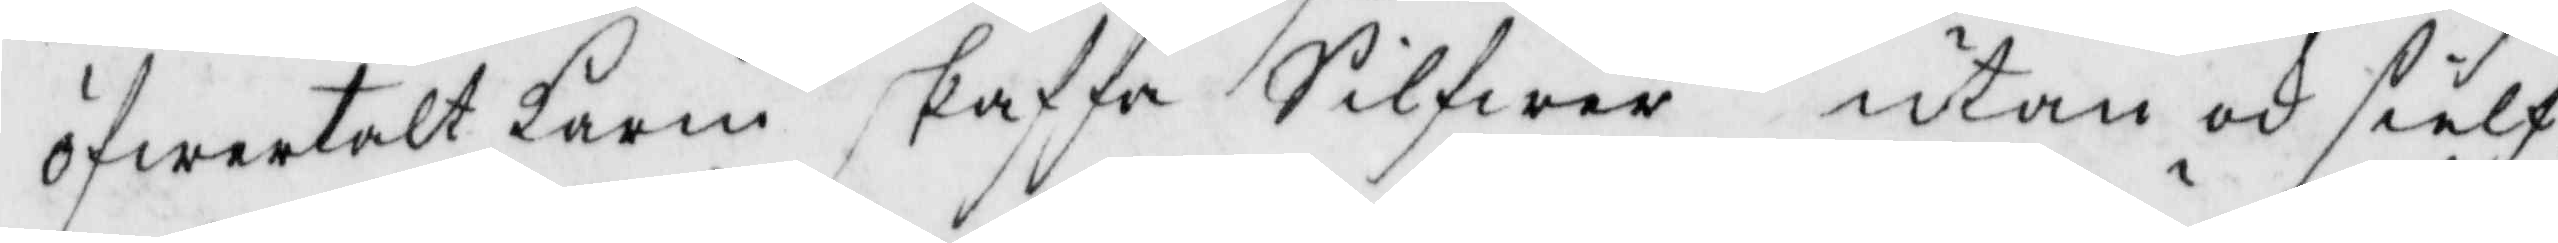öfwertalt Karin skaffa Silfwer utan och sielf
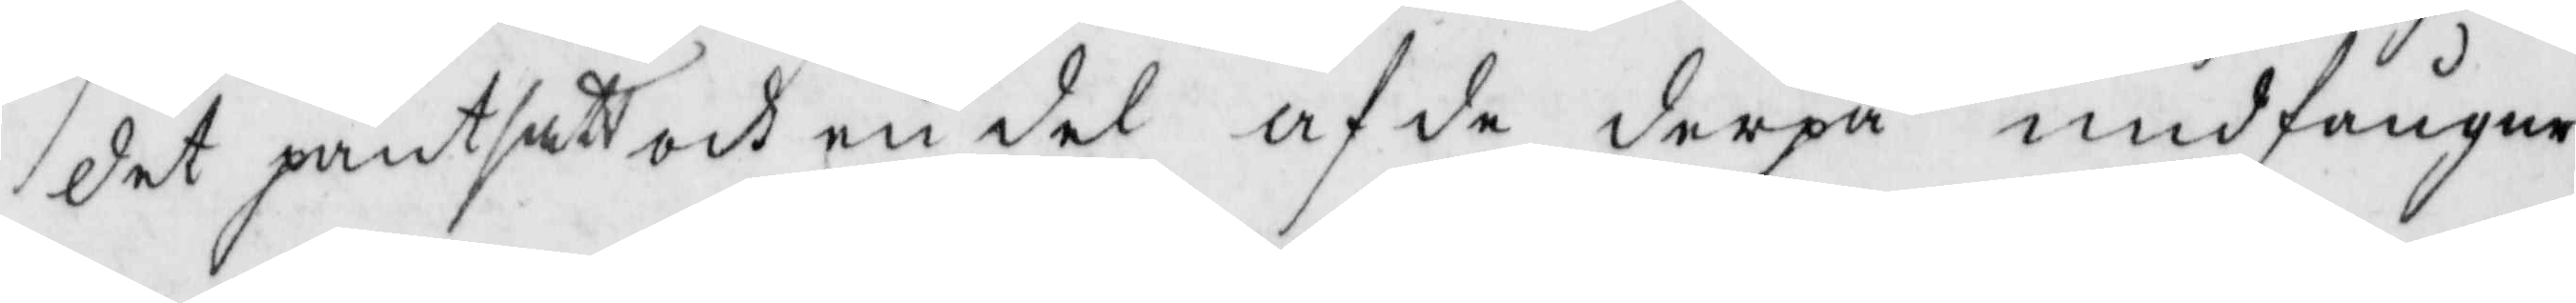det pantsatt och en del af de derpå undfångne
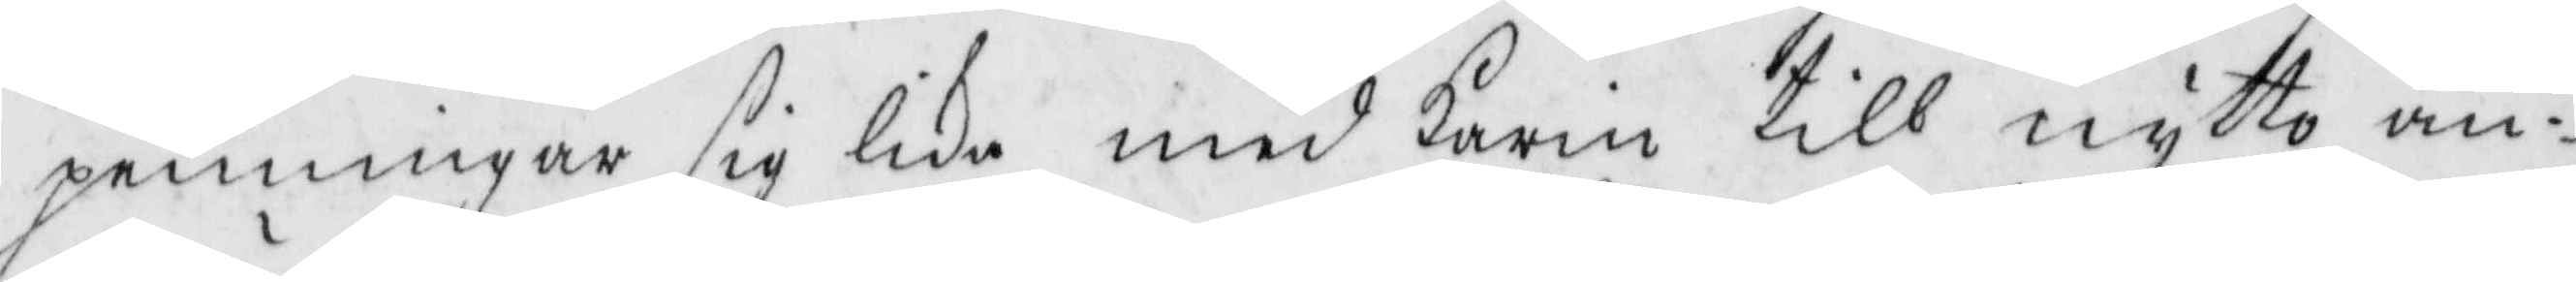penningar sig lika med Karin till nytto an¬
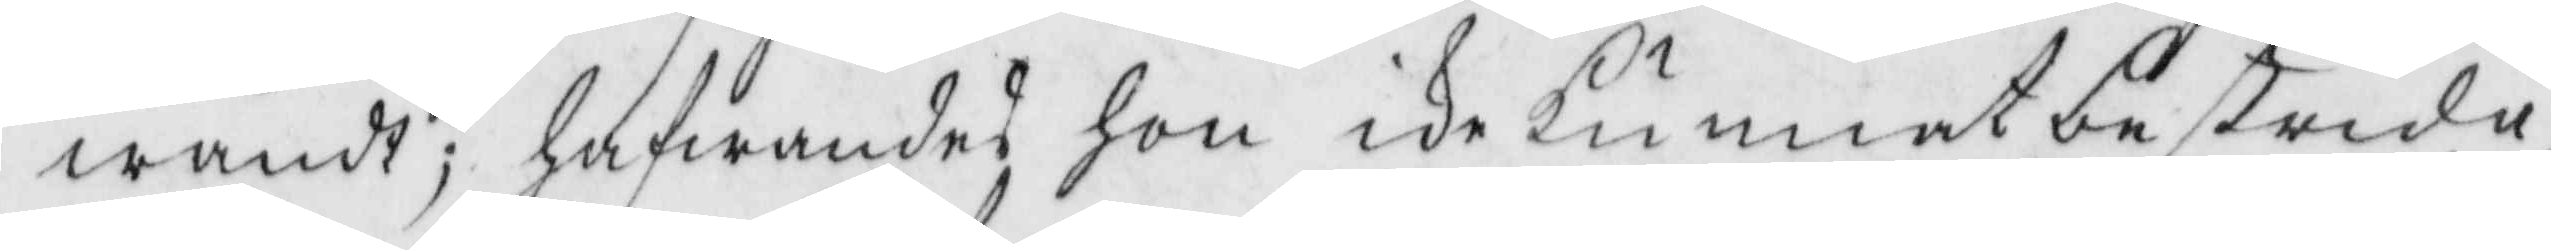wändt; hafwandes hon ike kunnat bestrida
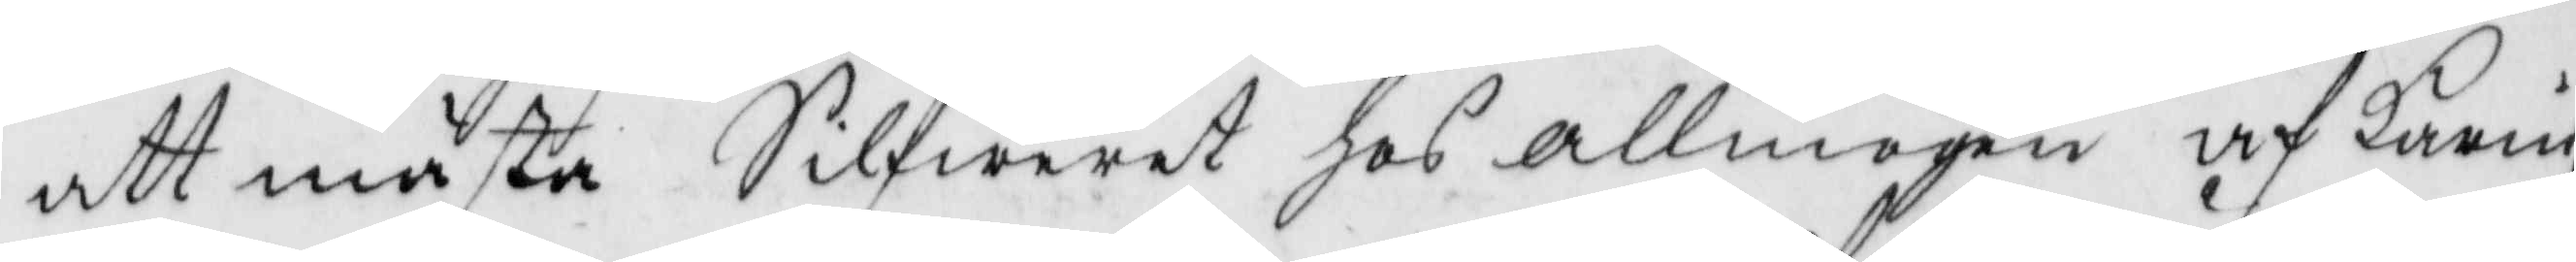att mästa Silfwret hos Allmogen af Karin,
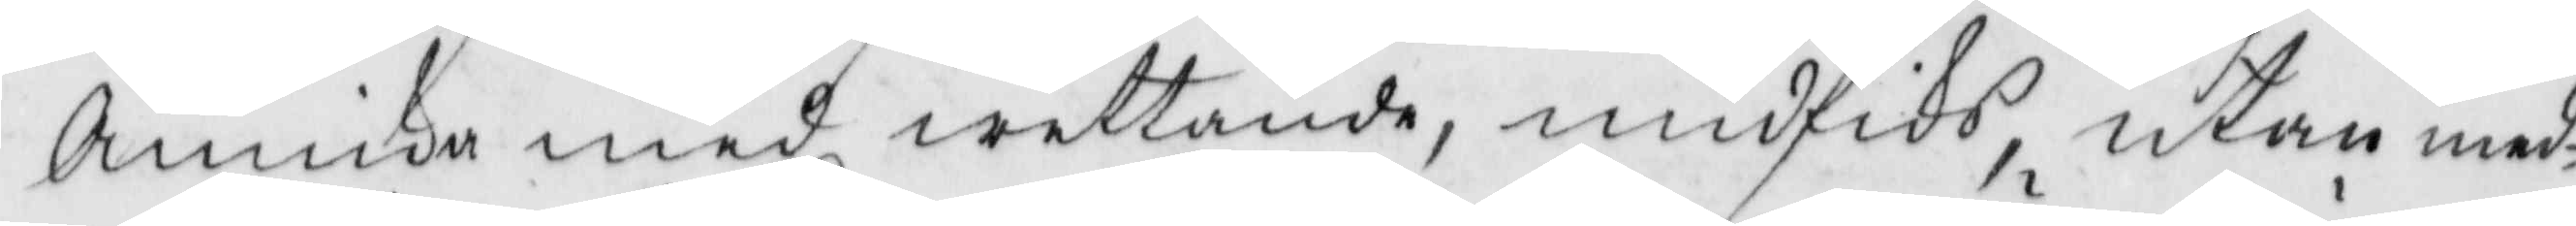Annika med wettande, undfiks, utan med¬
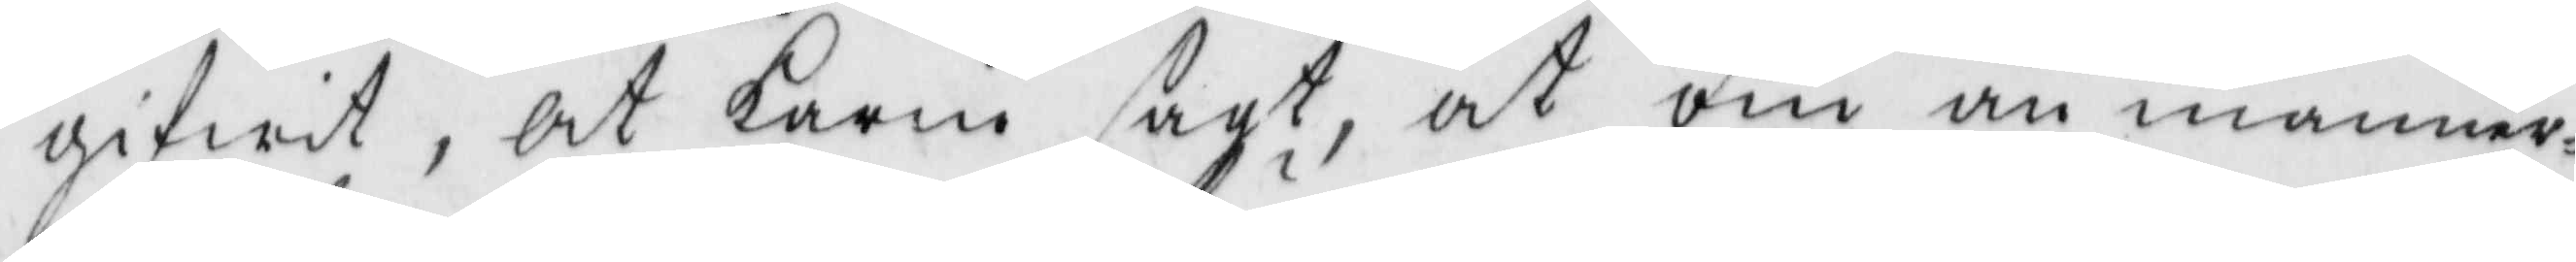gifwit, At Karin sagt, at om än männer¬
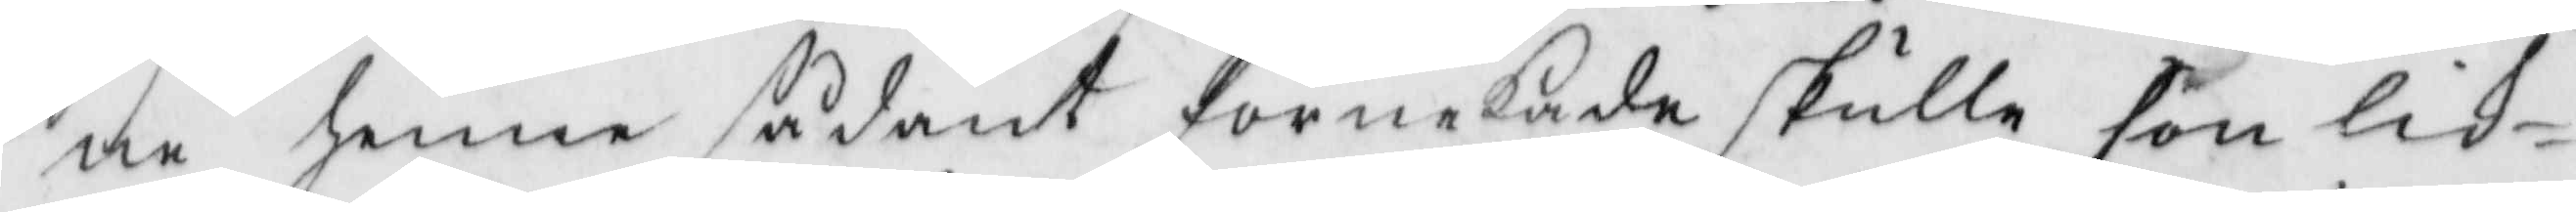ne henne sådant förnekade skulle hon lik¬
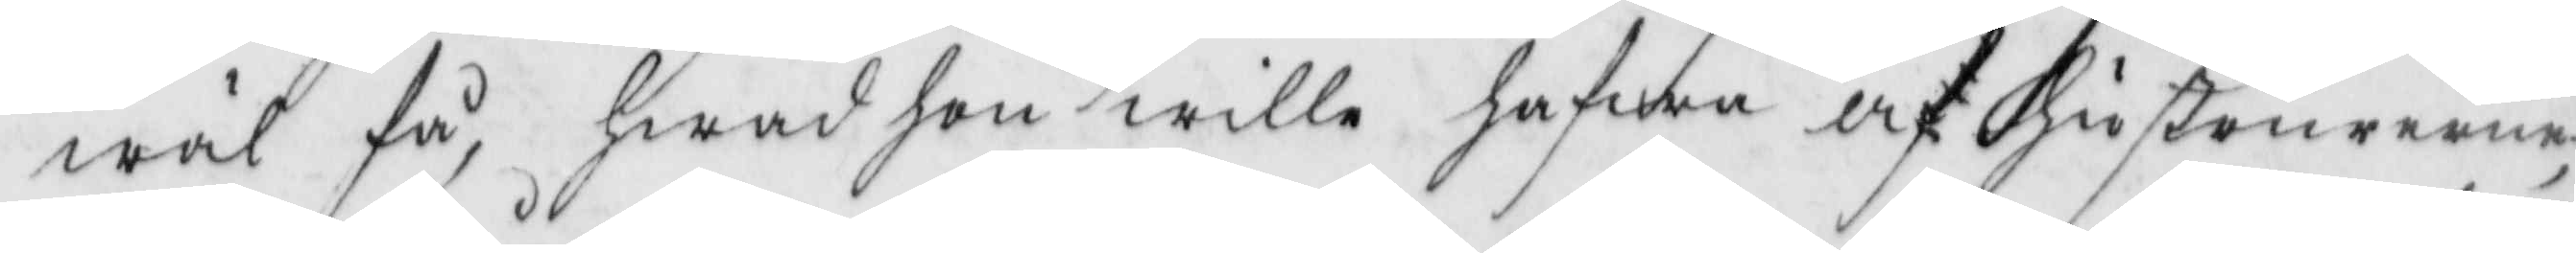wäl få, hwad hon wille hafwa af hustrurerne
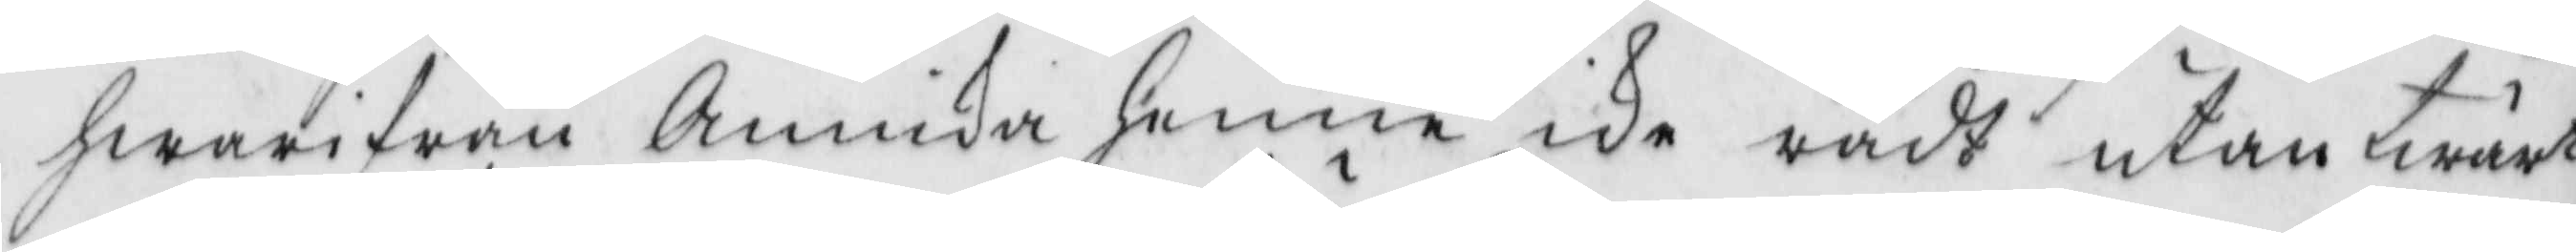hwarifrån Annika henne ike rådt utan twärt¬
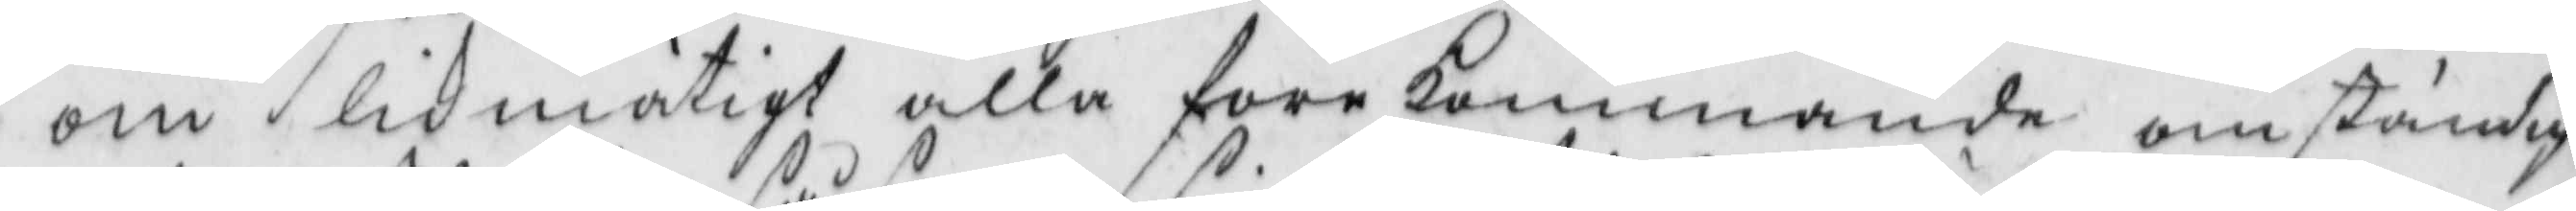om likmätigt alla förekommande omständig¬
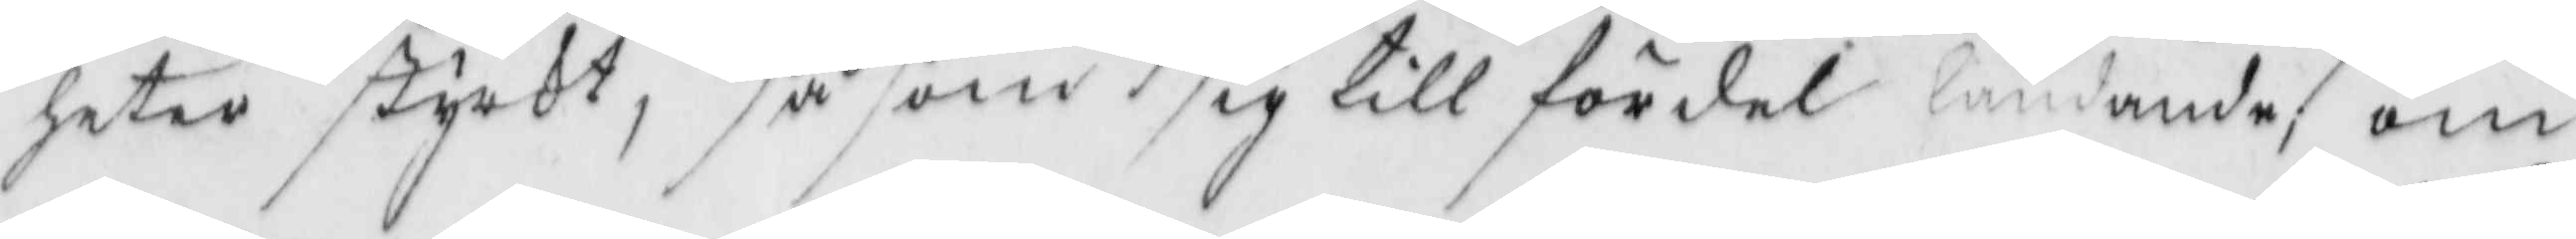heter styrkt, så som sig till fördel ländande om
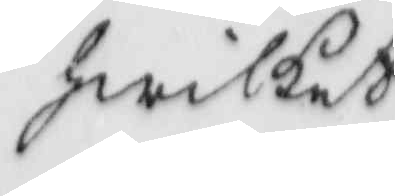hwilket
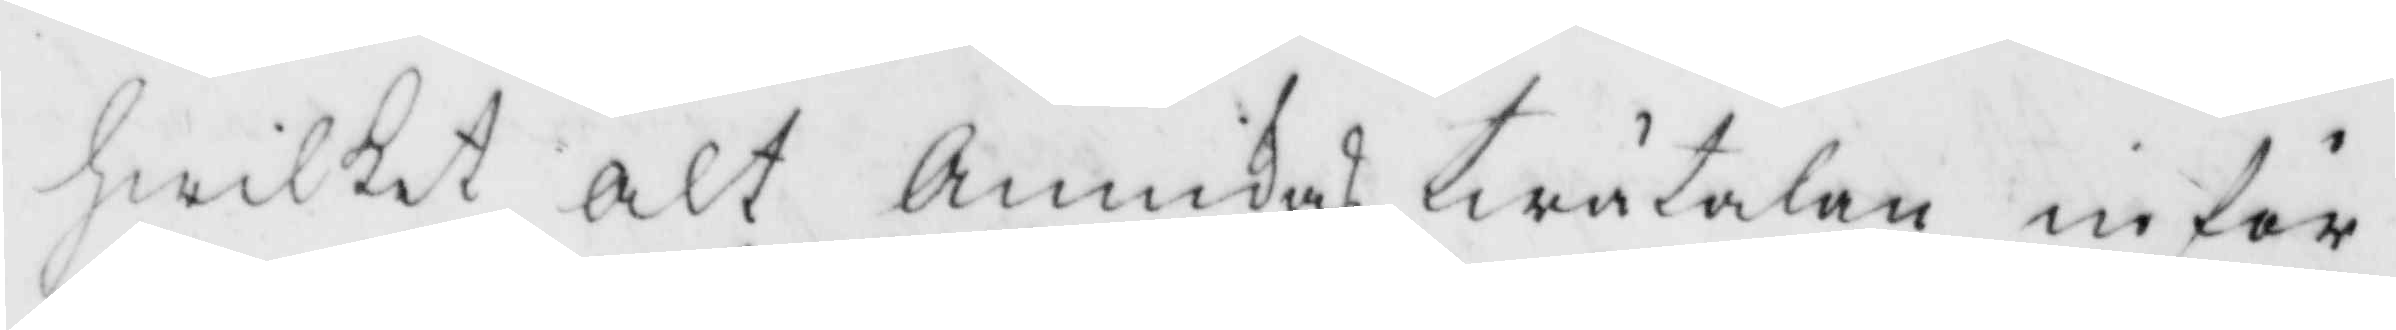hwilket alt Annikas twätalan inför
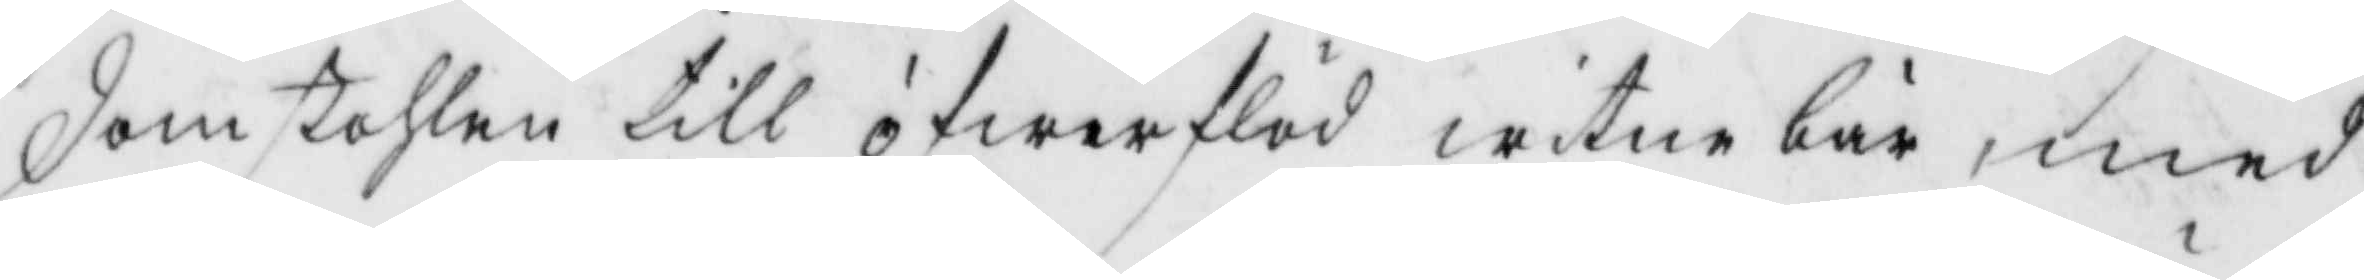domstohlen till öfwerflöd witne bär, med
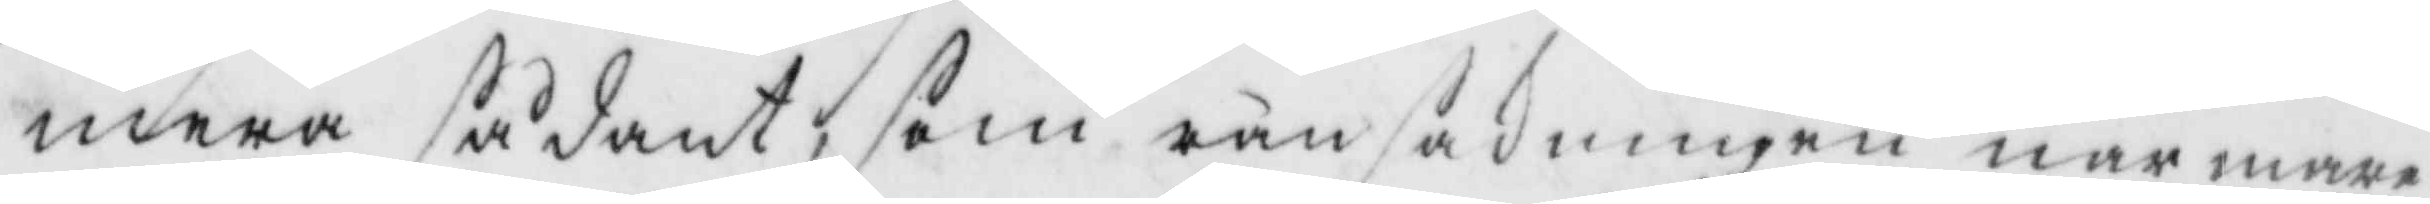mera sådant, som ransakningen närmare
